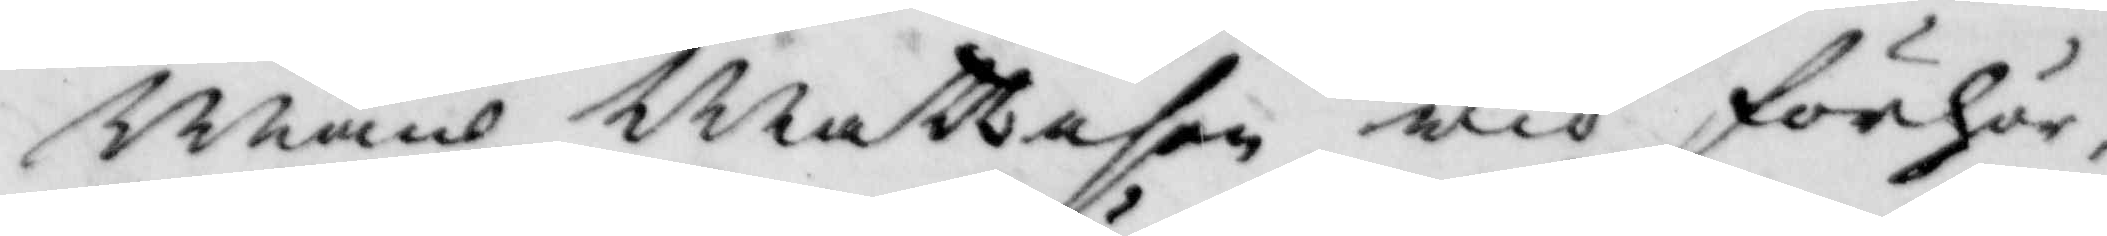Måns Mattison wid förhör,
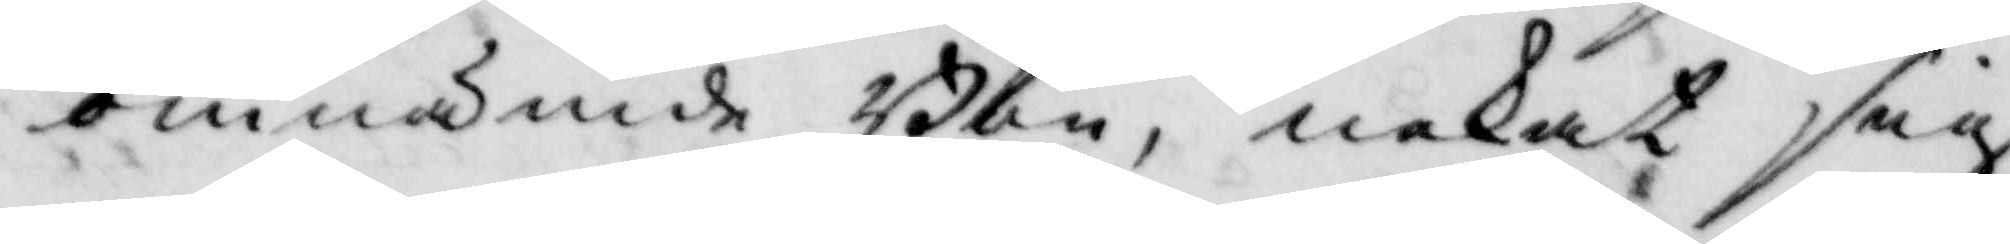omnämde Bön, nekat sig
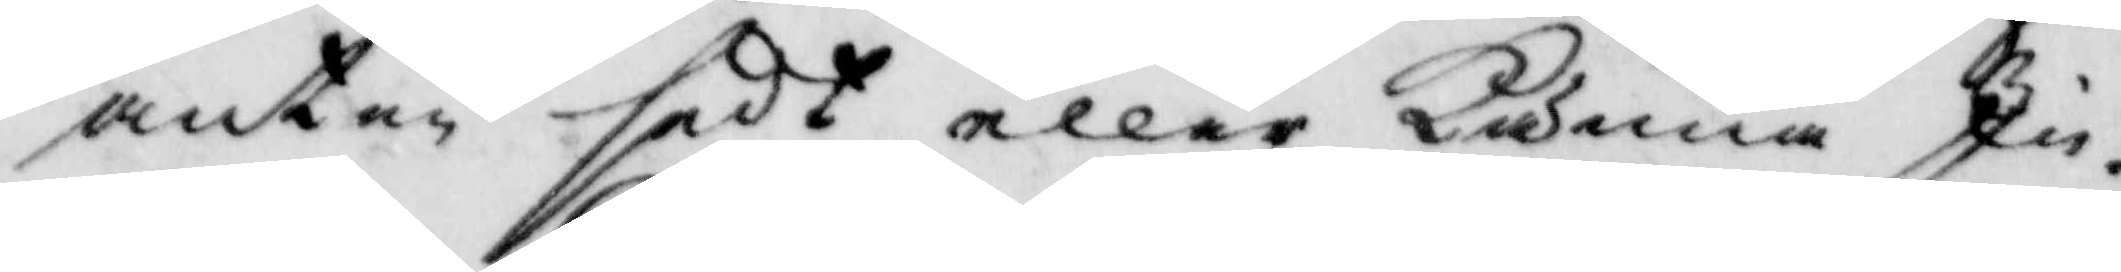anten sedt eller känna In¬
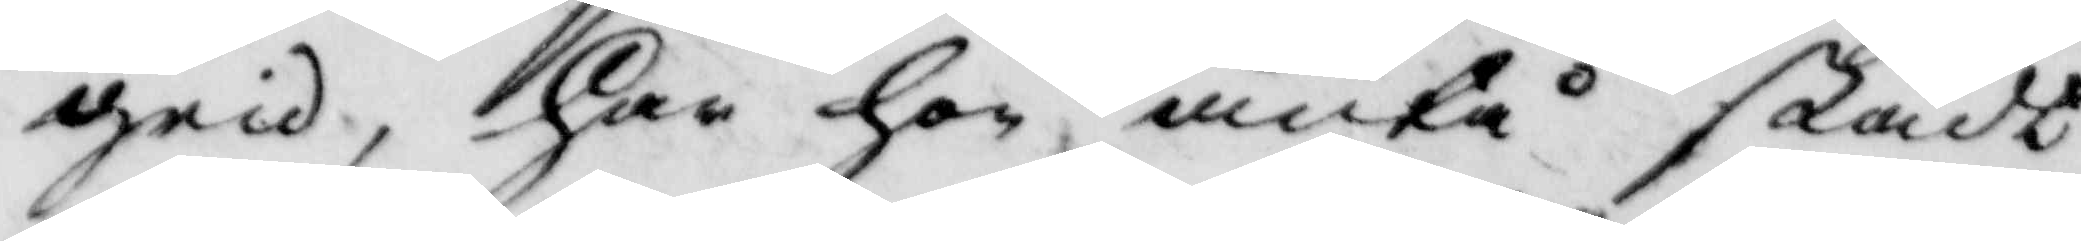grid, har hon äntå stådt
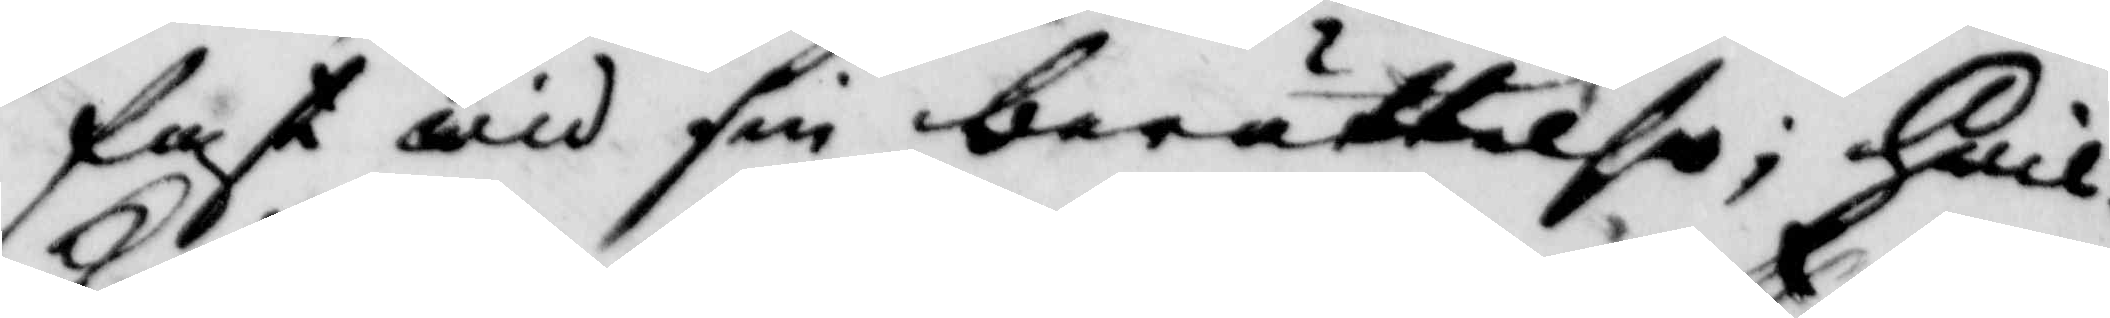fast wid sin berättelse; hwil¬
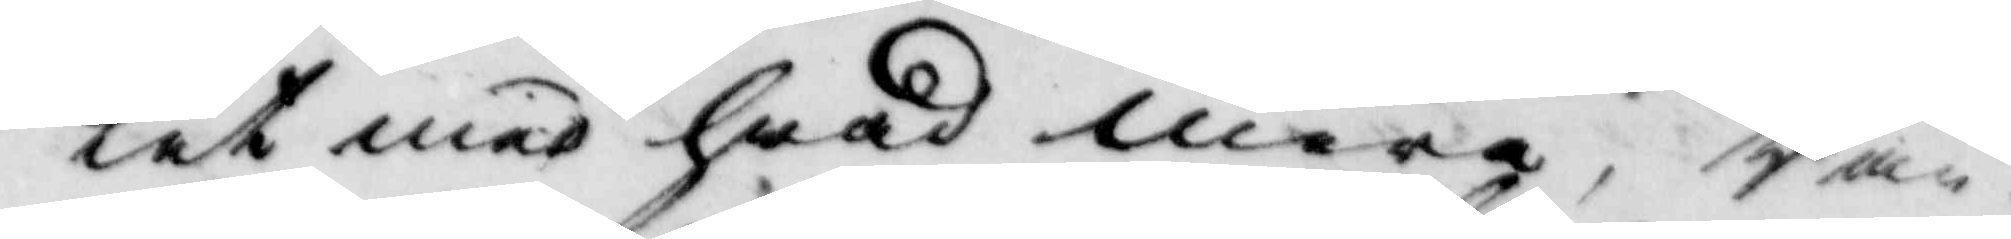ket med hwad mera, Ran¬
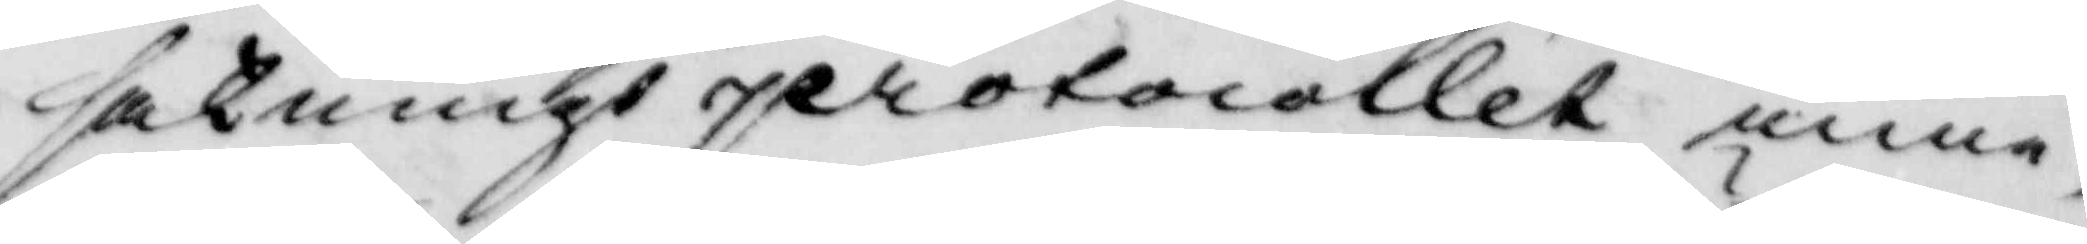saknings protocollet inne¬
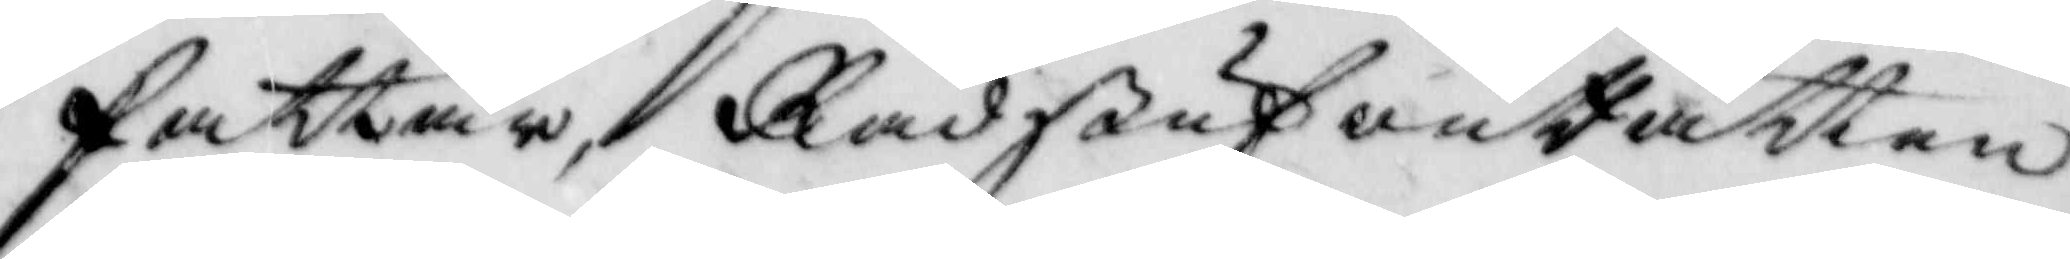fattar, RådstufwuRätten
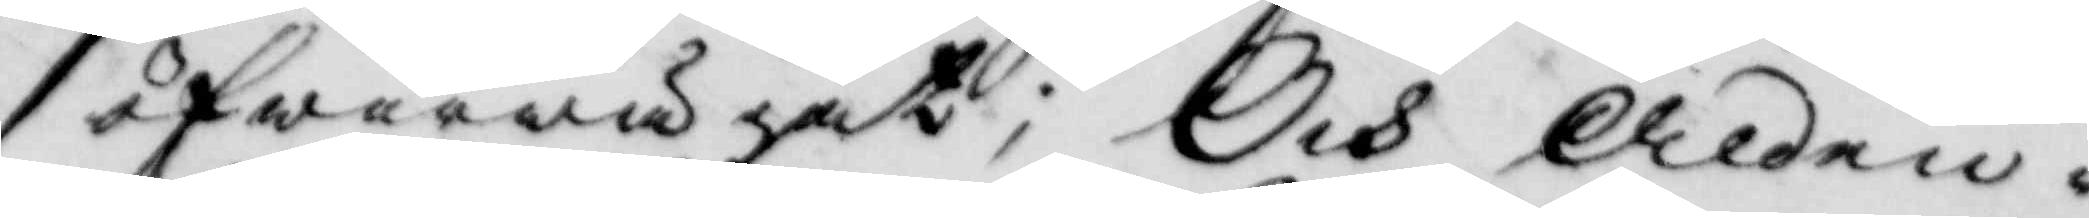öfwerwägat; Och Alden¬
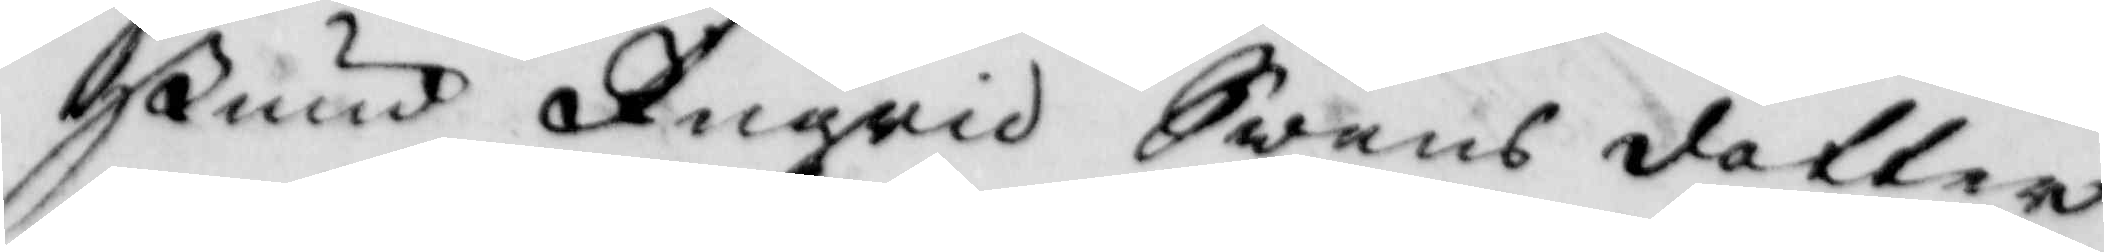stund Ingrid Swensdotter
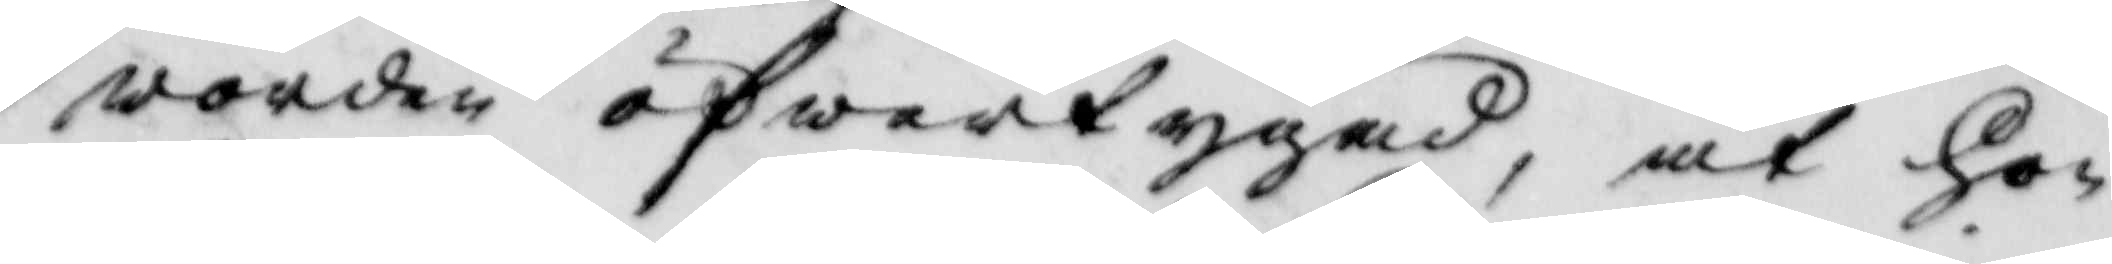worden öfwertygad, at hon
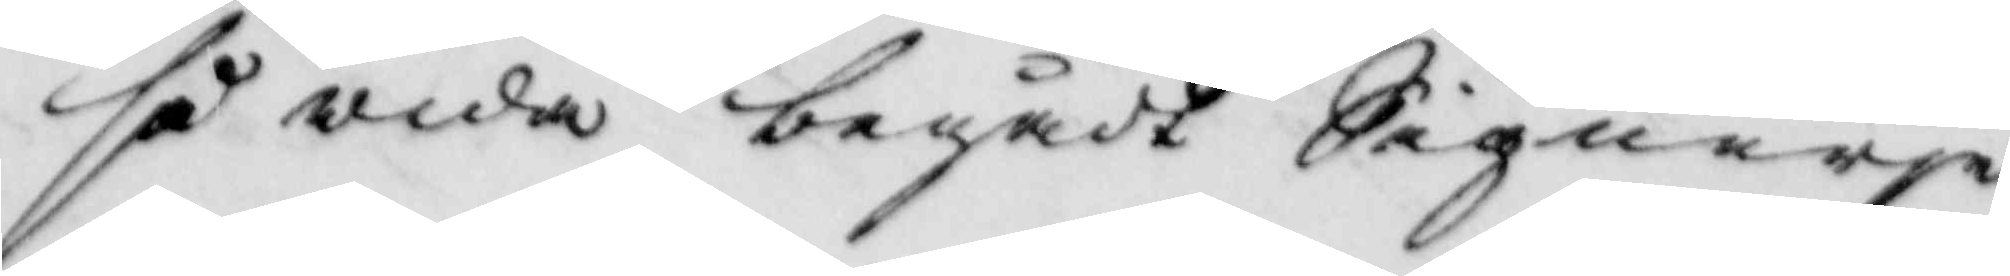så wida begådt Signerie
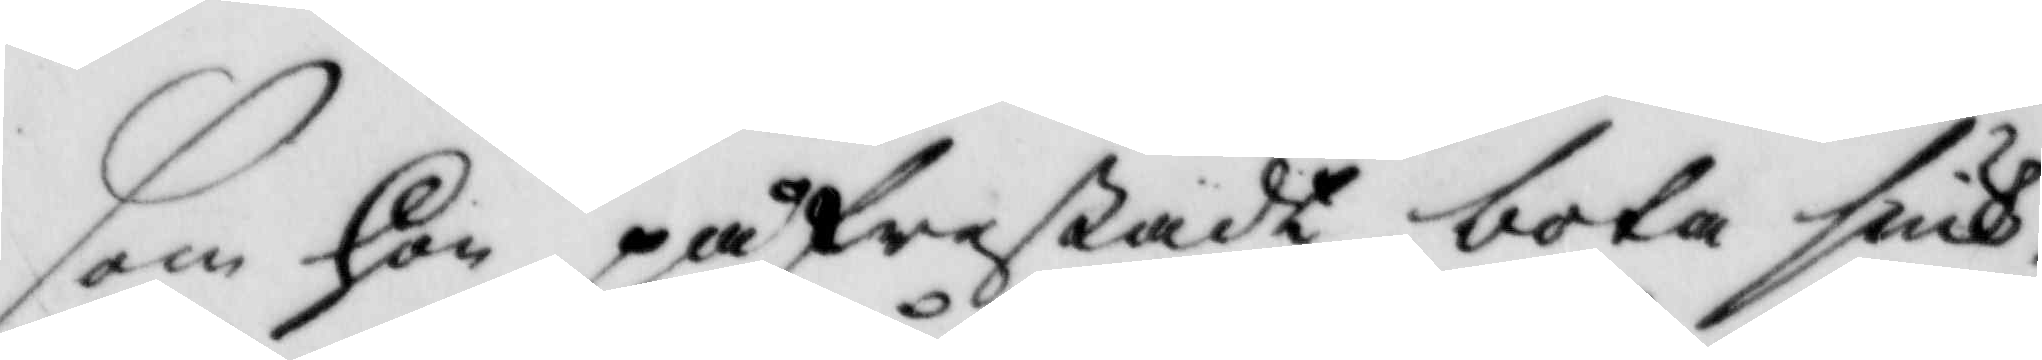som hon på frestadt bota siuk¬
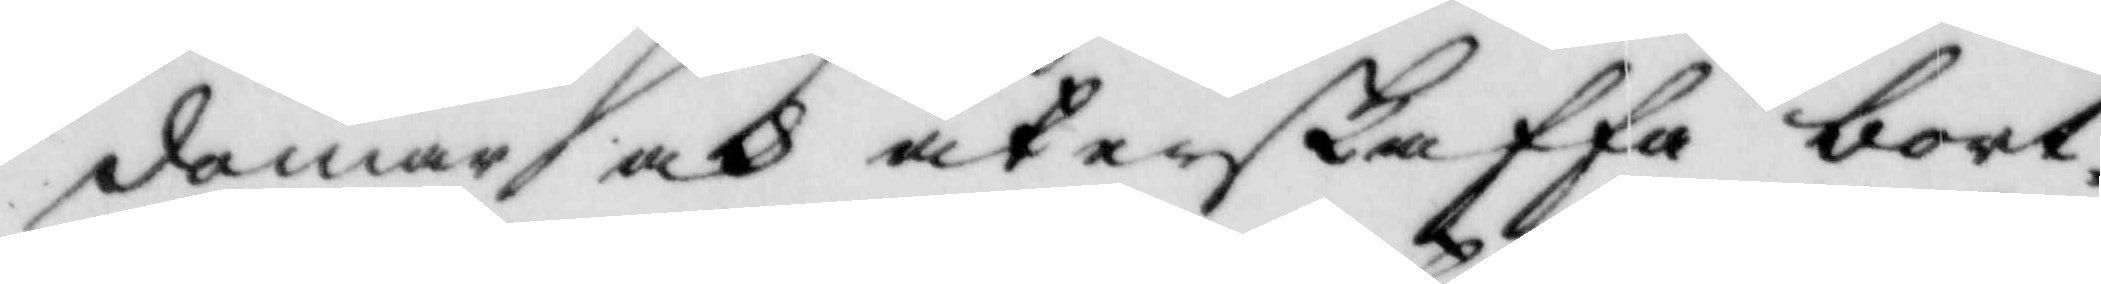domar och återskaffa bort¬
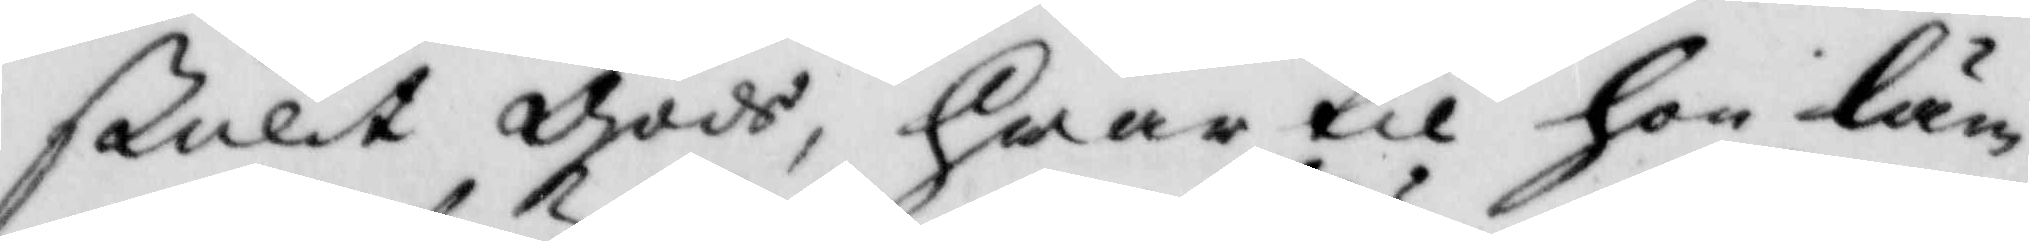stulit gods, hwar till hon läm¬
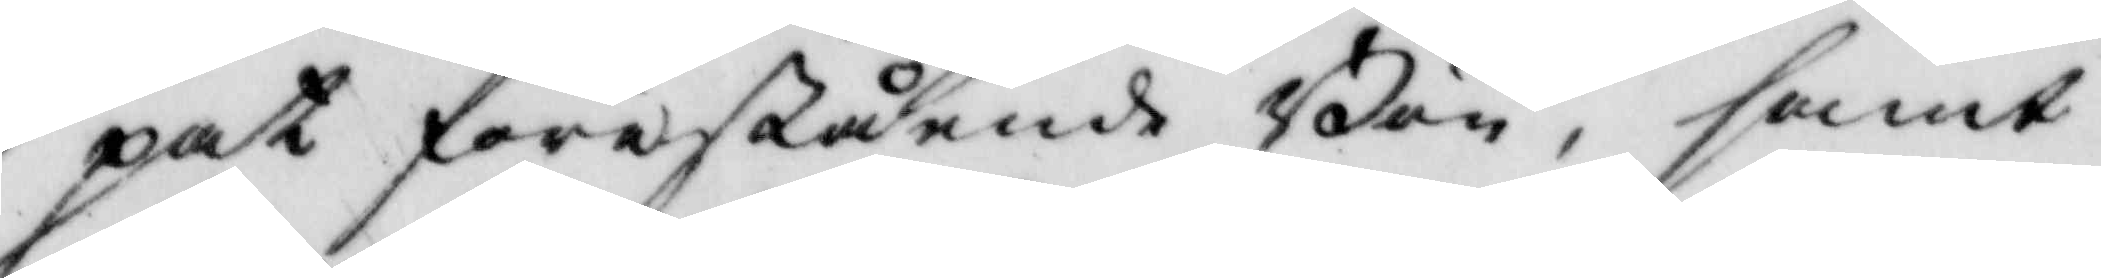pat förestående Bön, samt
